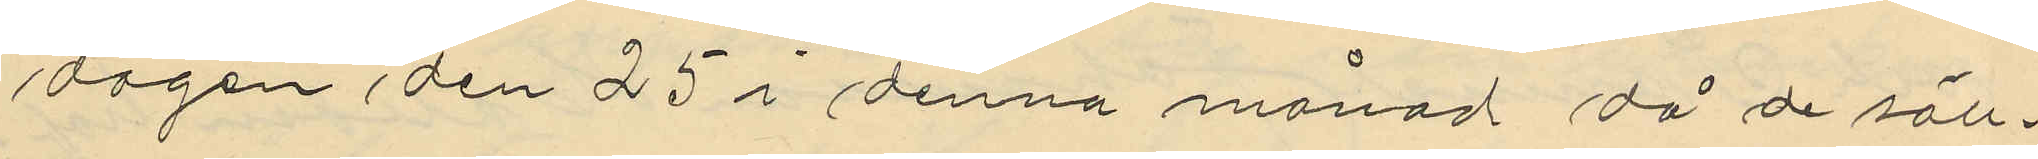dagen den 25 i denna månad då de säll¬
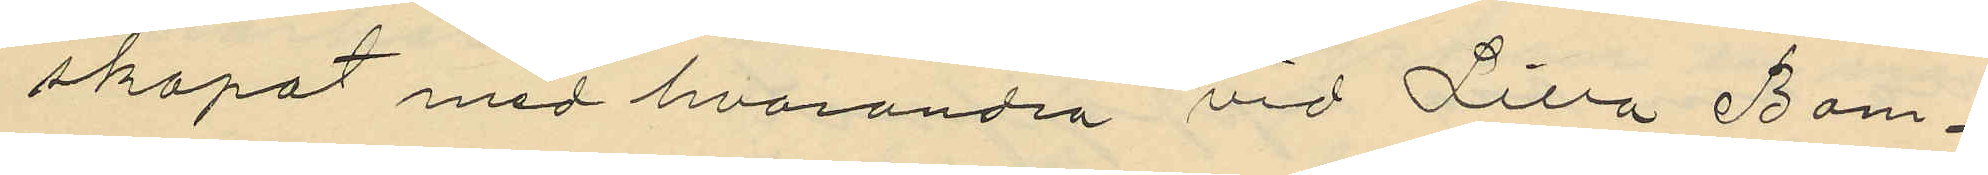skapat med hvarandra vid Lilla Bom¬
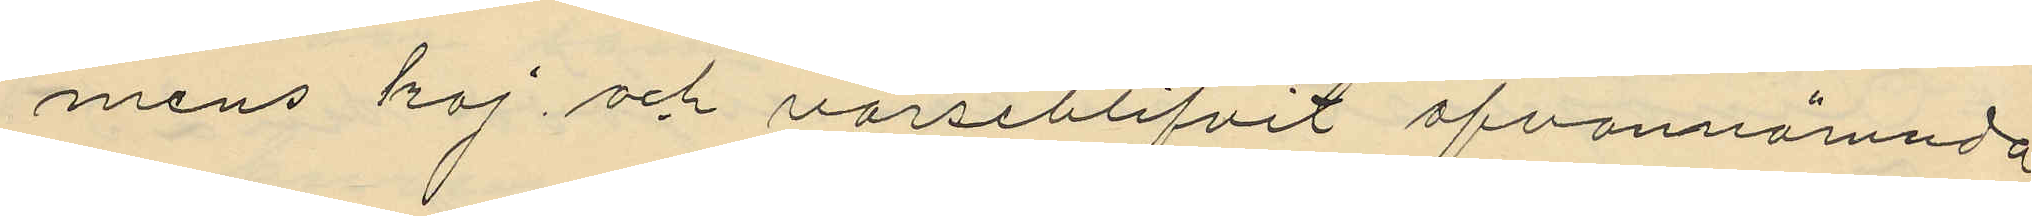mens kaj och varseblifvit ofvannämnde
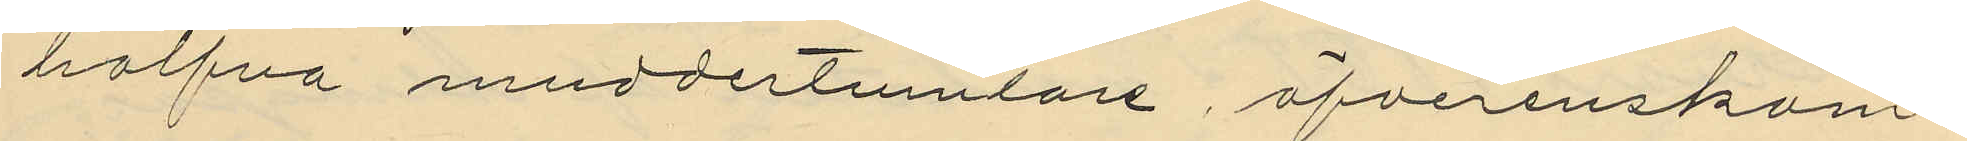halfva muddertumlare, öfverenskom¬
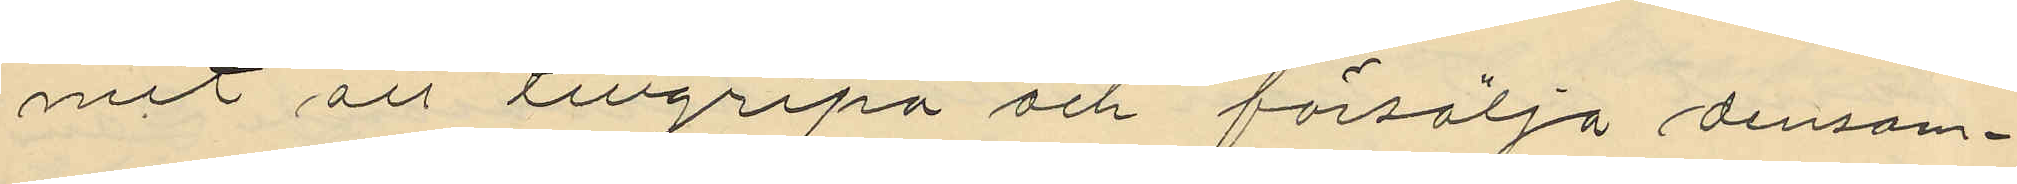mit att tillgripa och försälja densam¬
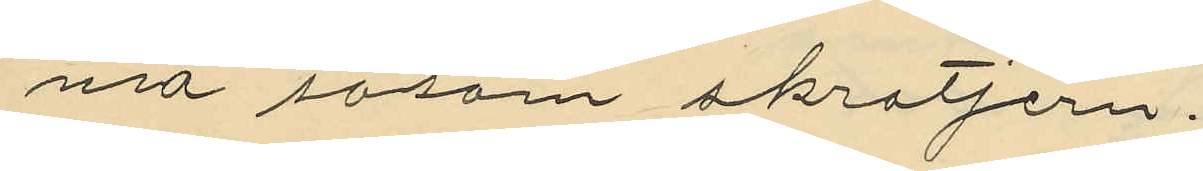na såsom skrotjern,
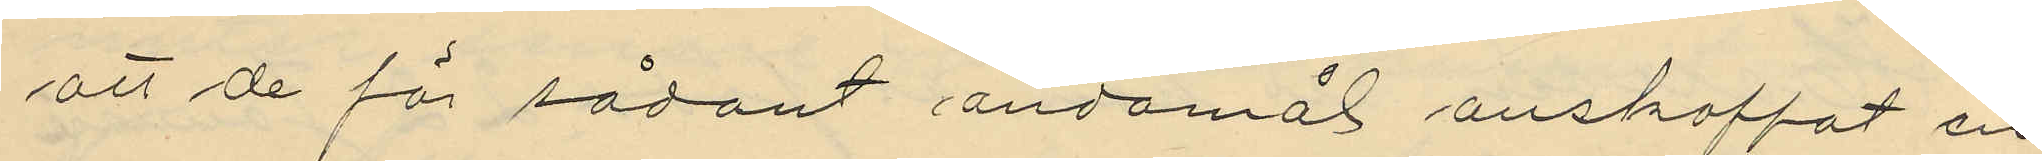att de för sådant ändamål anskaffat en
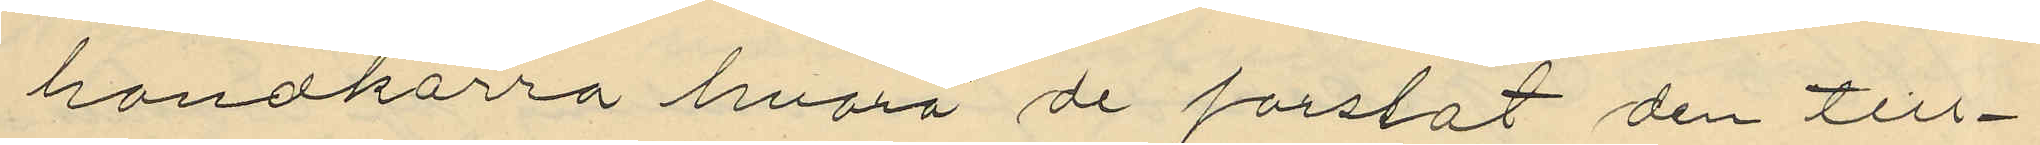handkärra hvarpå de forslat den till¬
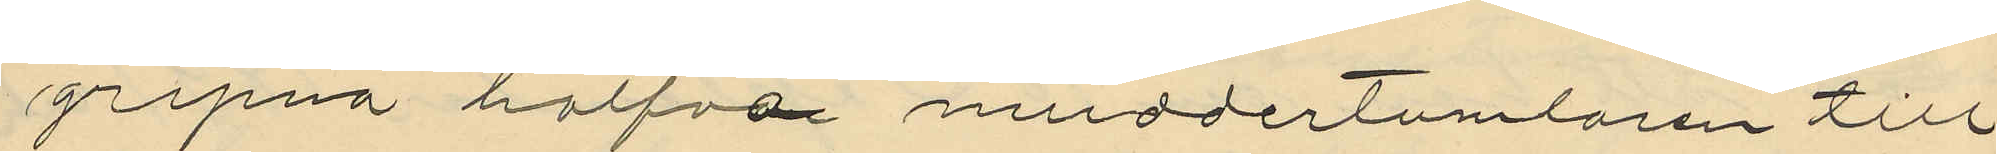gripna halfva muddertumlaren till
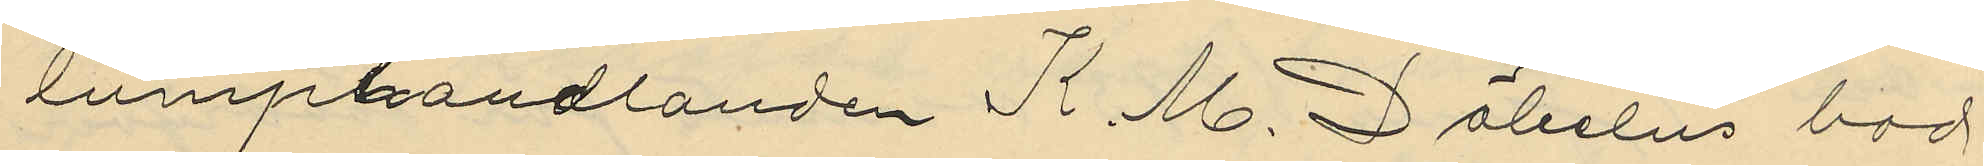lumphandlanden K. M. Döbelns bod
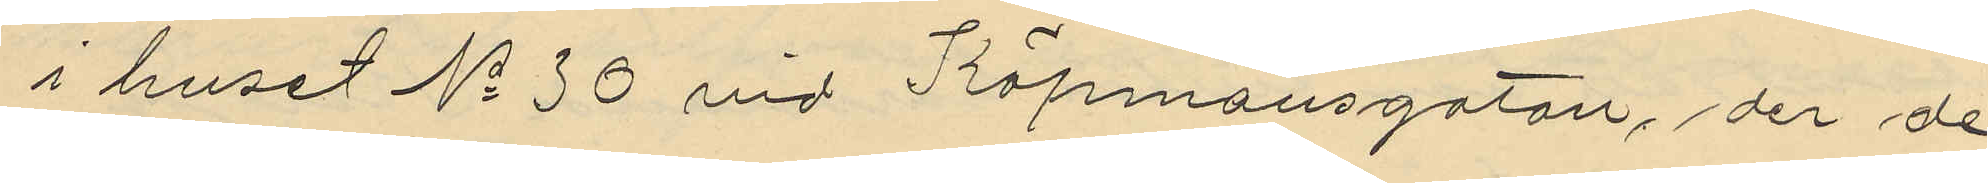i huset No 30 vid Köpmansgatan, der de
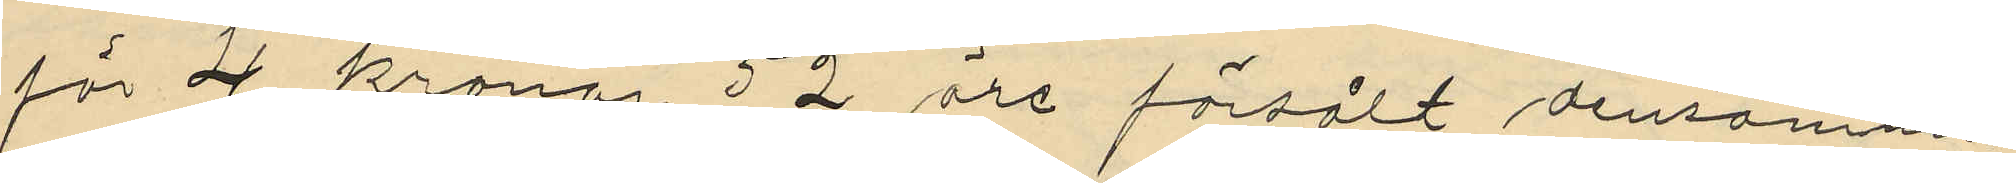för 4 kronor 52 öre försålt densamma
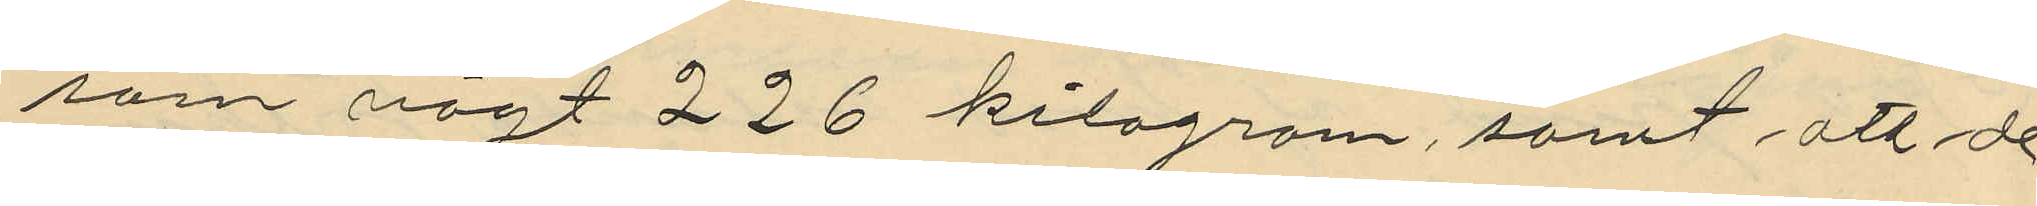som vägt 226 kilogram, samt att de
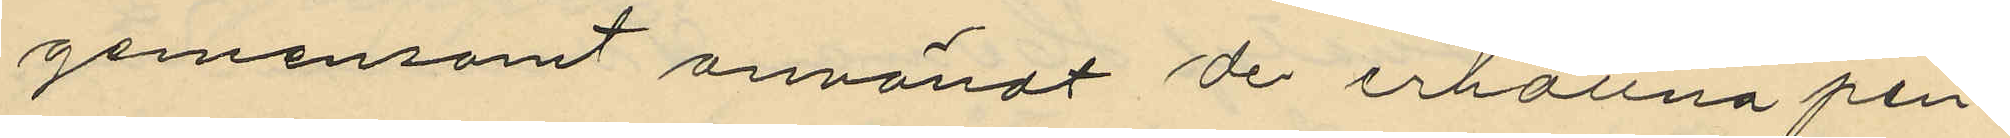gemensamt användt de erhållna pen¬
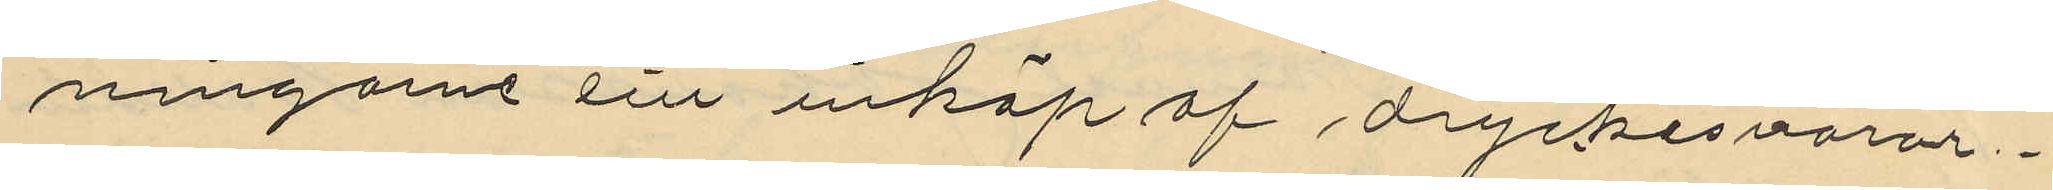ningarne till inköp af dryckesvaror.
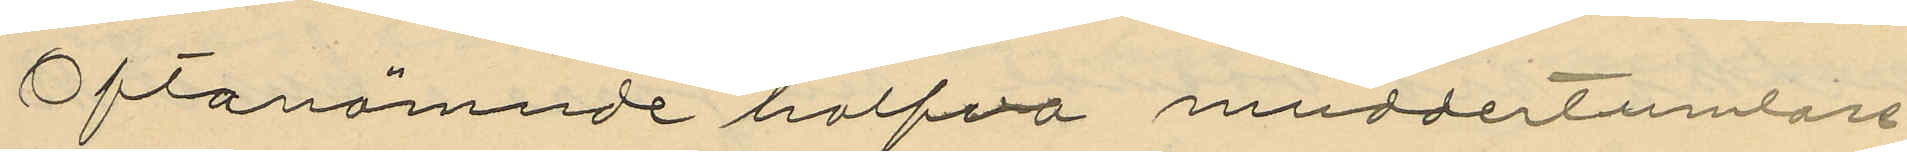Oftanämnde halfva muddertumlare
